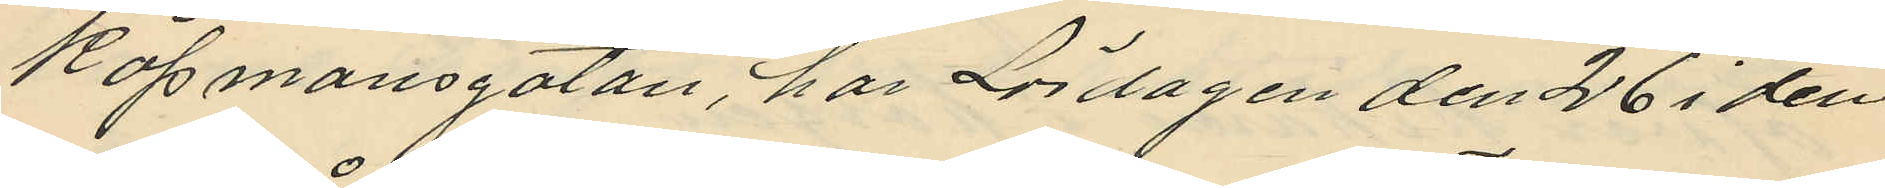Köpmansgatan, har Lördagen den 26 i den¬
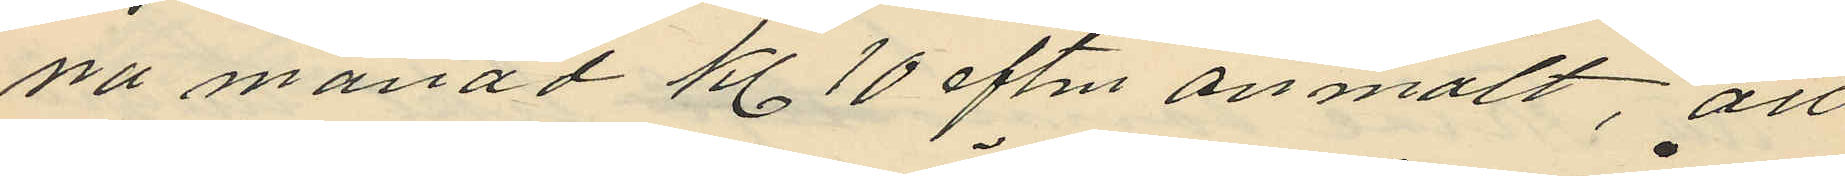na månad Kl. 10 eftm. anmält, att
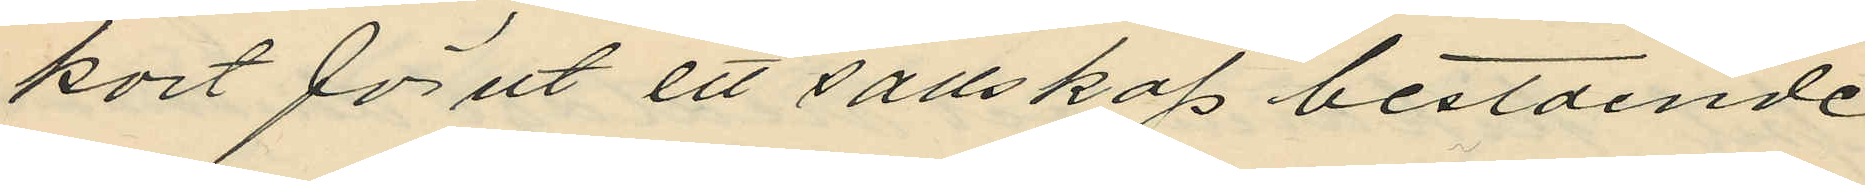kort förut ett sällskap bestående
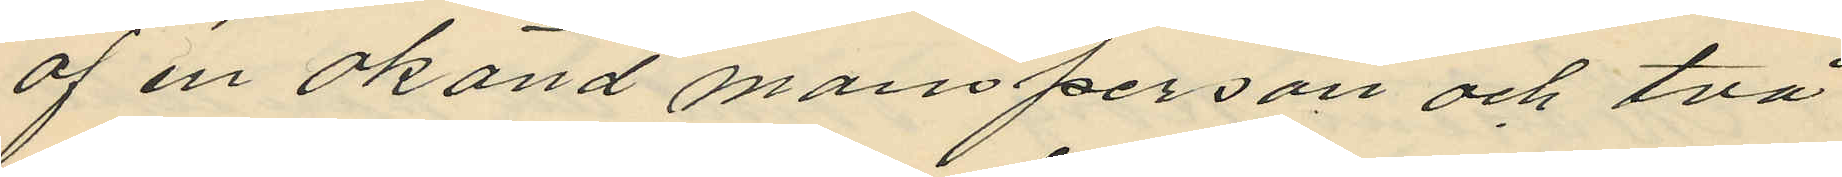af en okänd mansperson och två
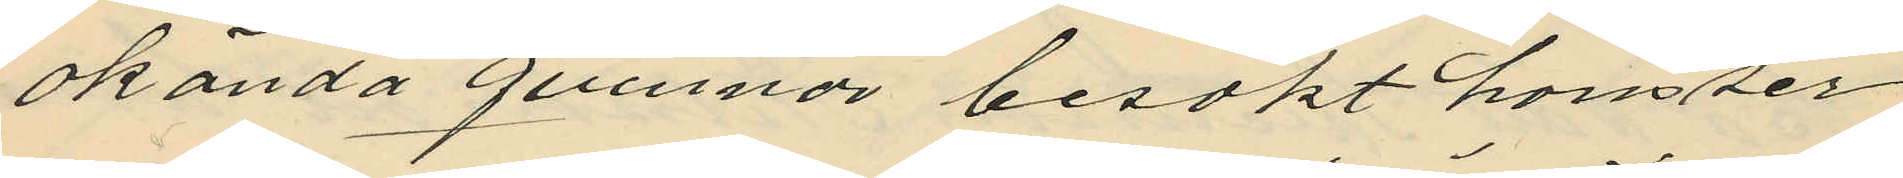okända qvinnor besökt hans ser¬
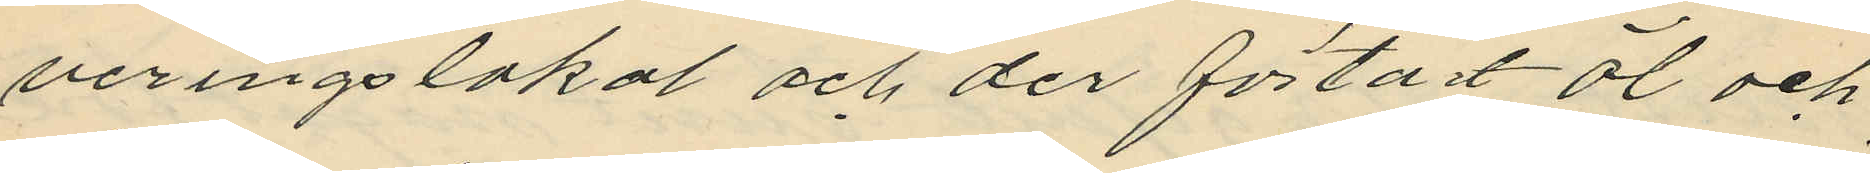veringslokal och der förtärt öl och
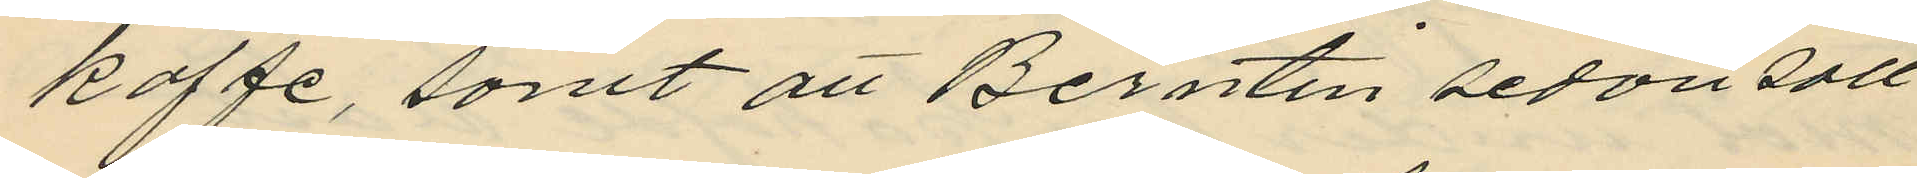kaffe, samt att Berntin sedan säll
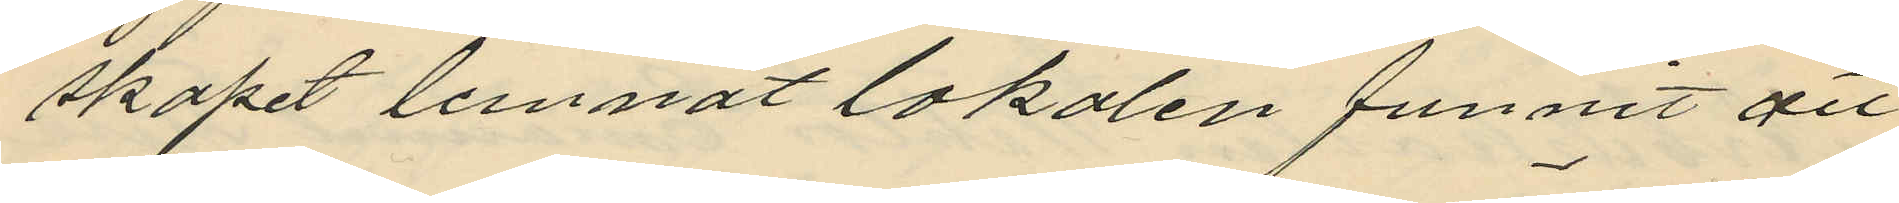skapet lemnat lokalen funnit att
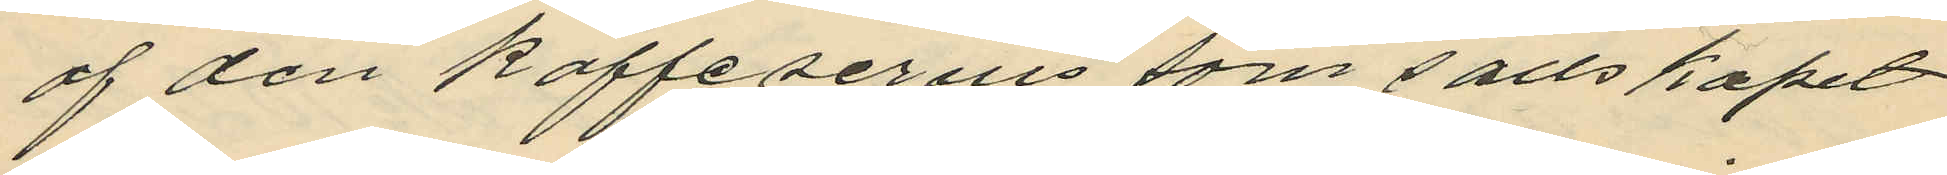af den kaffeservis som sällskapet
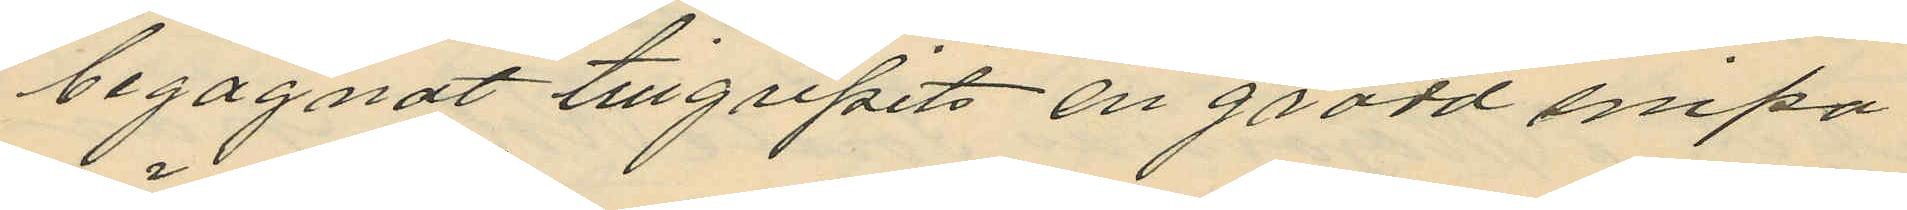begagnat tillgripits en gräddsnipa
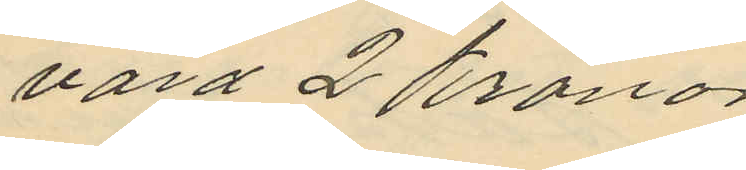värd 2 kronor
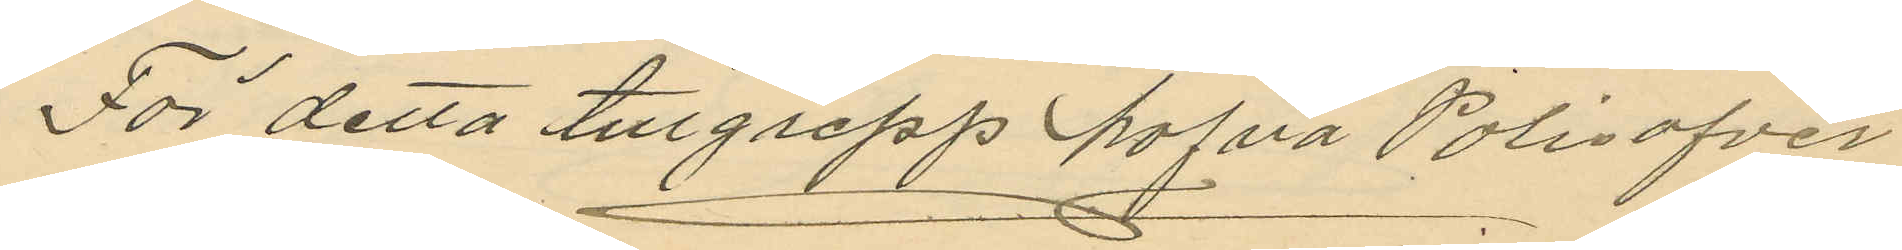För detta tillgrepp hafva Polisöfver
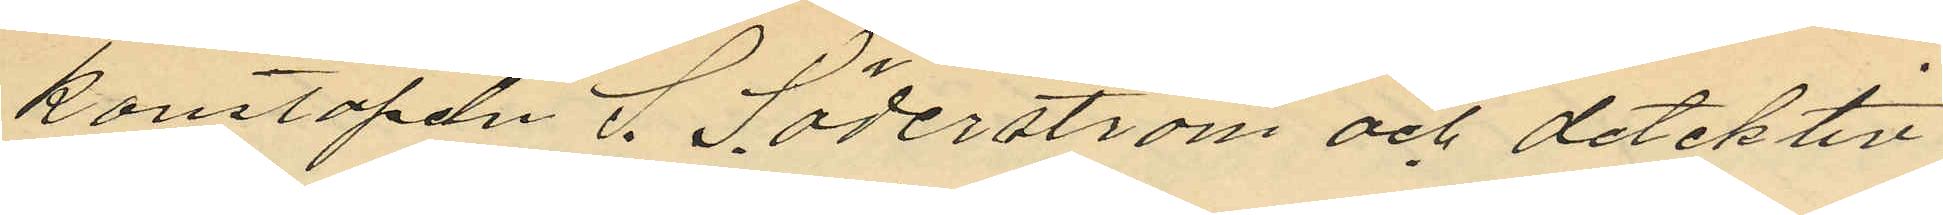konstapeln S. Söderström och detektiv
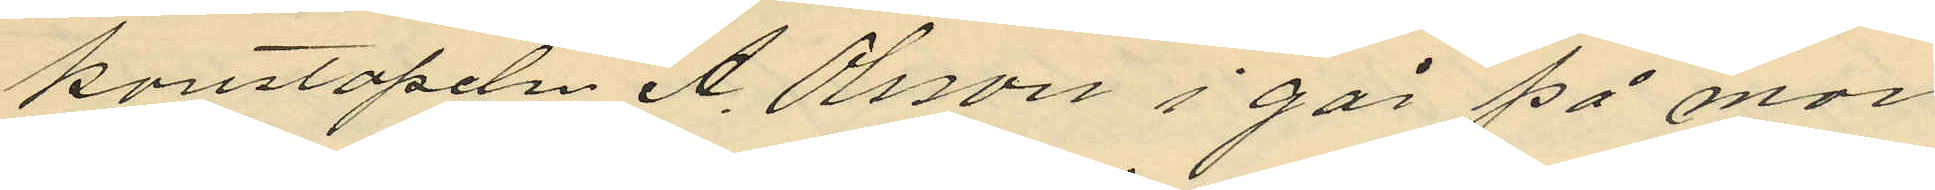konstapeln A. Olsson i går på mor
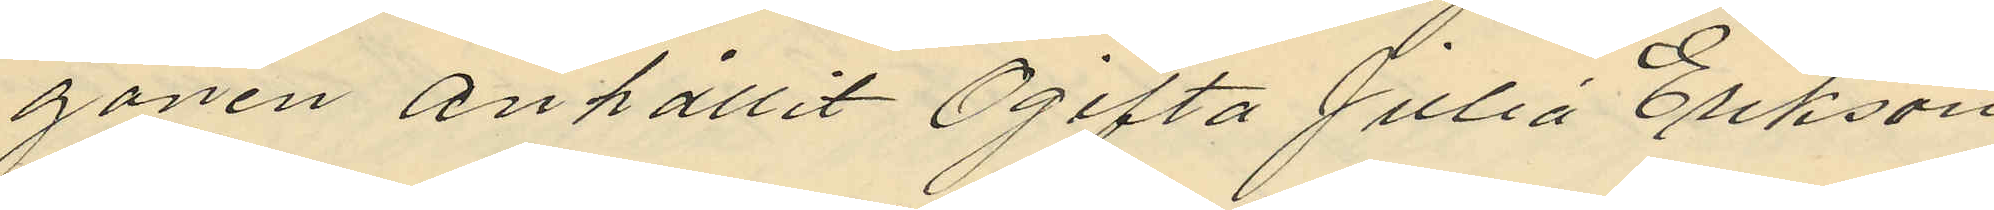gonen anhållit Ogifta Julia Erikson
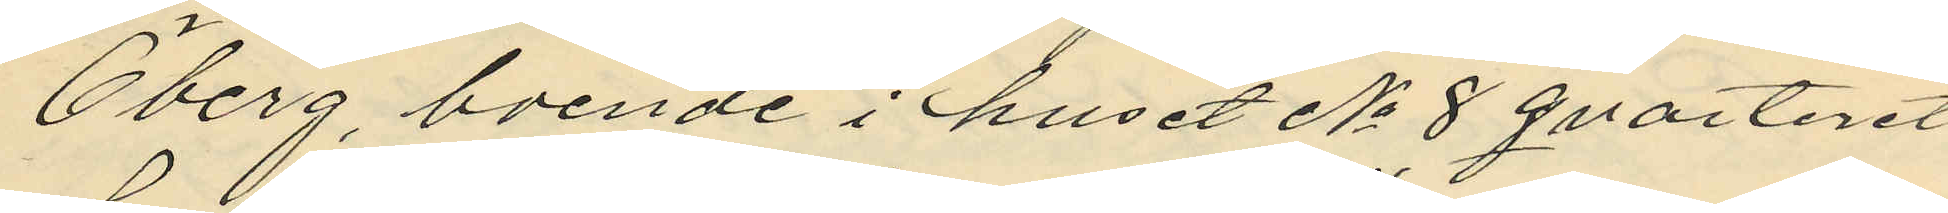Öberg, boende i huset No 8 qvarteret
